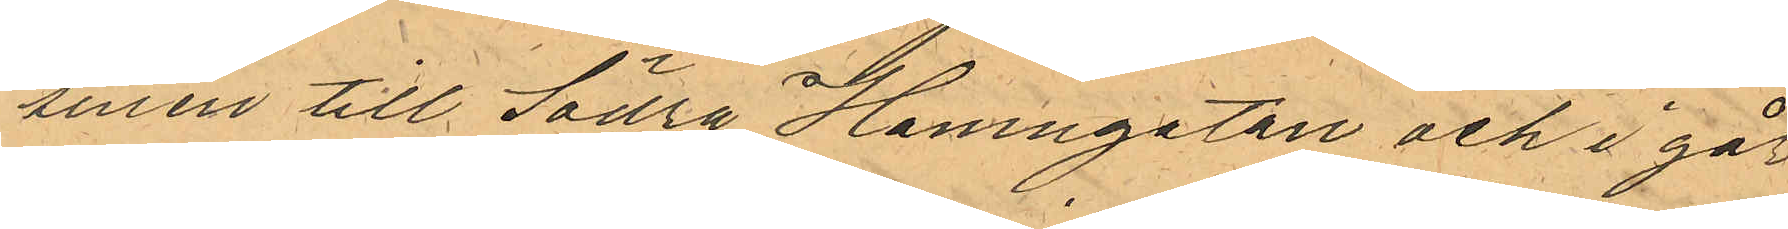sinen till Södra Hamngatan och i går¬
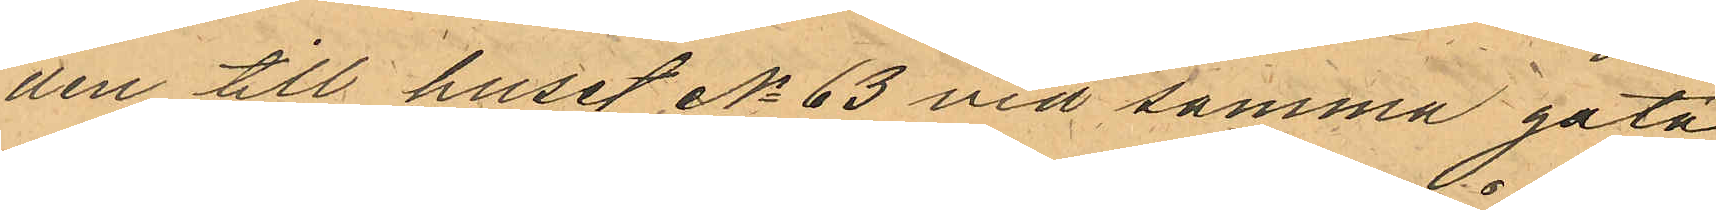den till huset No 63 vid samma gata
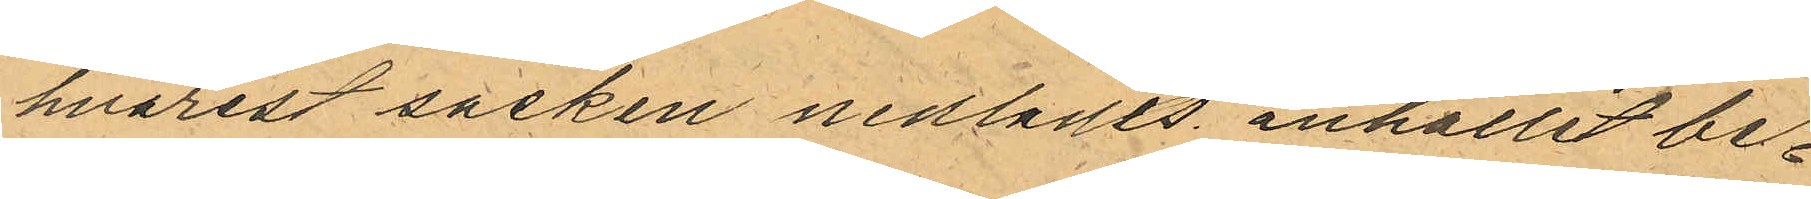hvarest sacken nedlades anhållit be¬
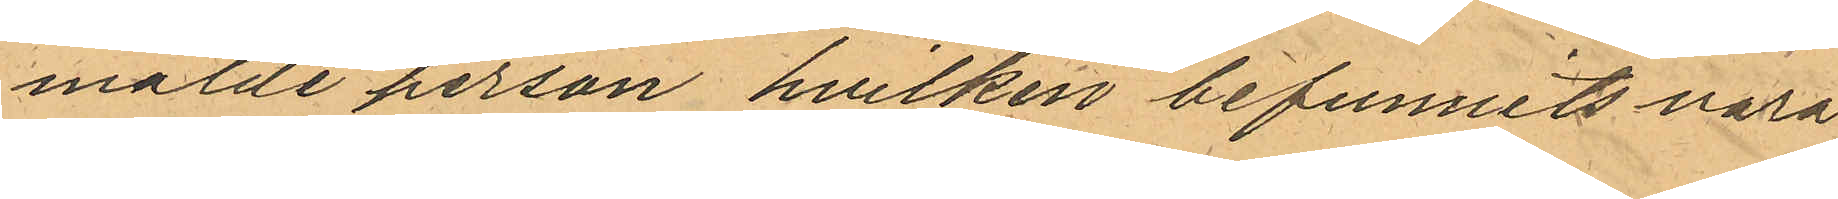mälde person hvilken befunnits vara
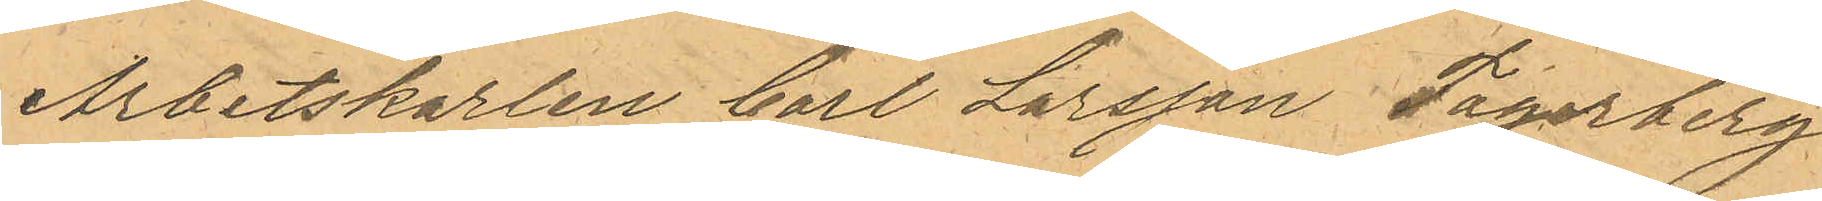Arbetskarlen Carl Larsson Fagerberg
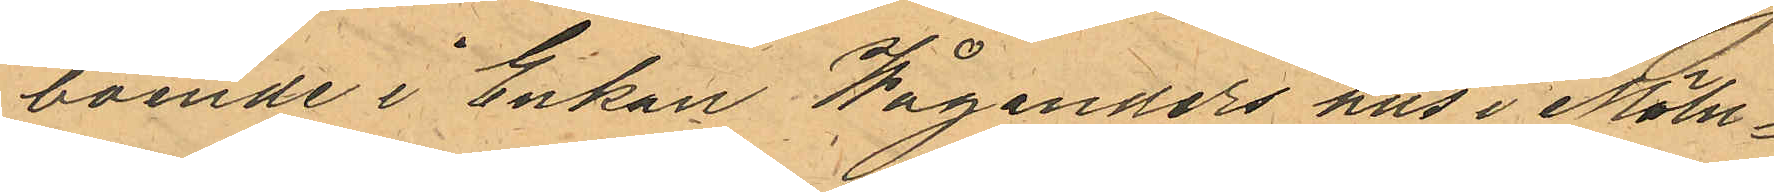boende i Enkan Wåganders hus i Möln¬
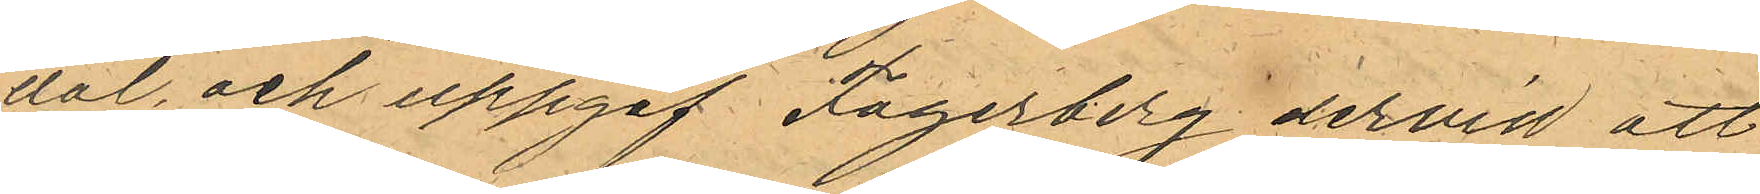dal och uppgaf Fagerberg dervid att
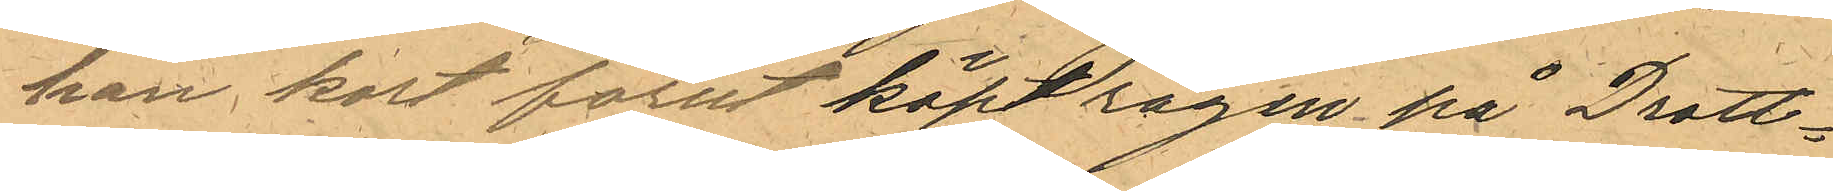han kort förut köpt rågen på Drott¬
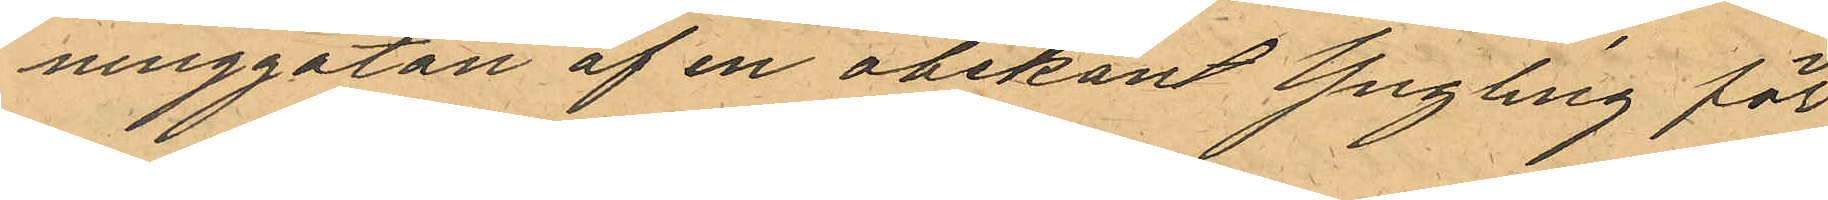ninggatan af en obekant Yngling för
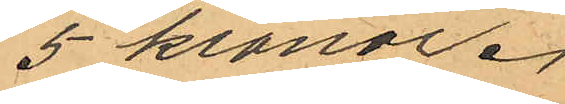5 kronor.
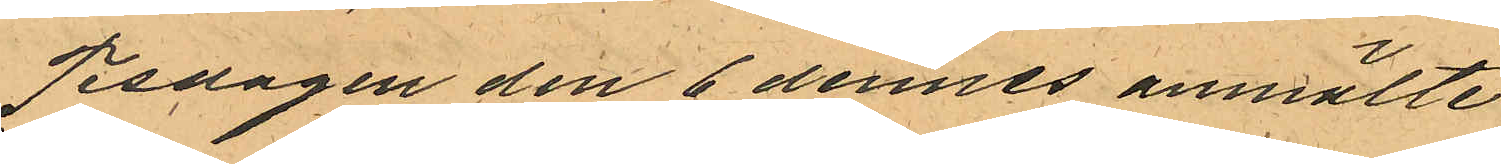Tisdagen den 6 dennes anmälte
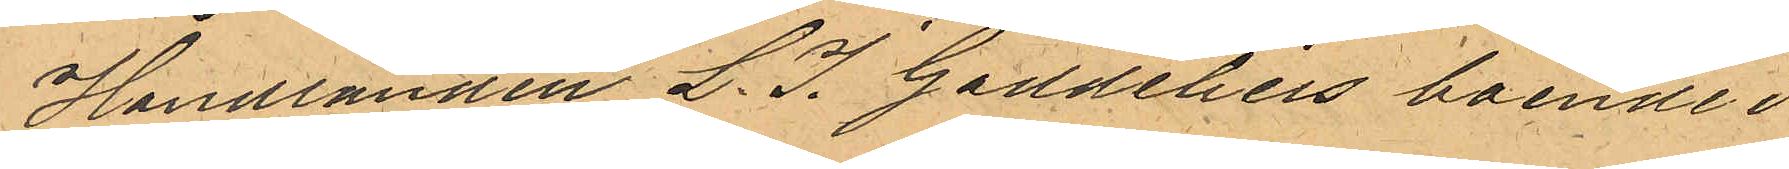Handlanden L. J. Gaddelius boende i
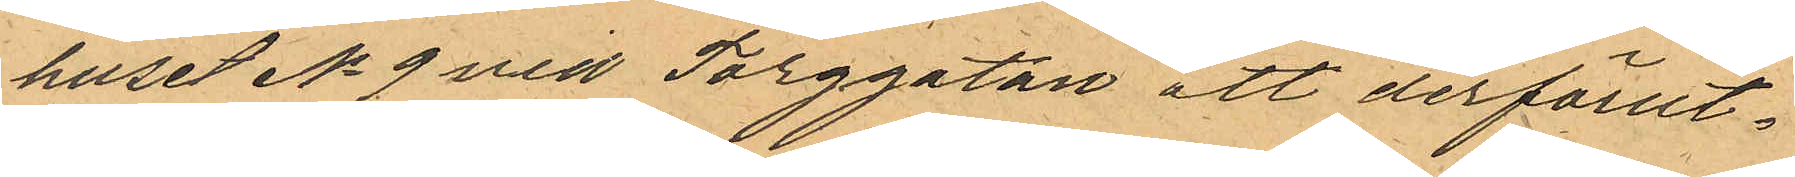huset No 9 vid Torggatan att derförut¬
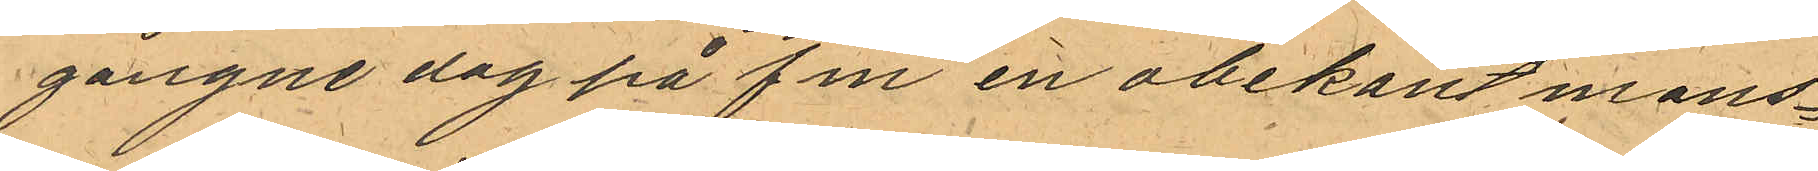gångne dag på fm en obekant mans¬
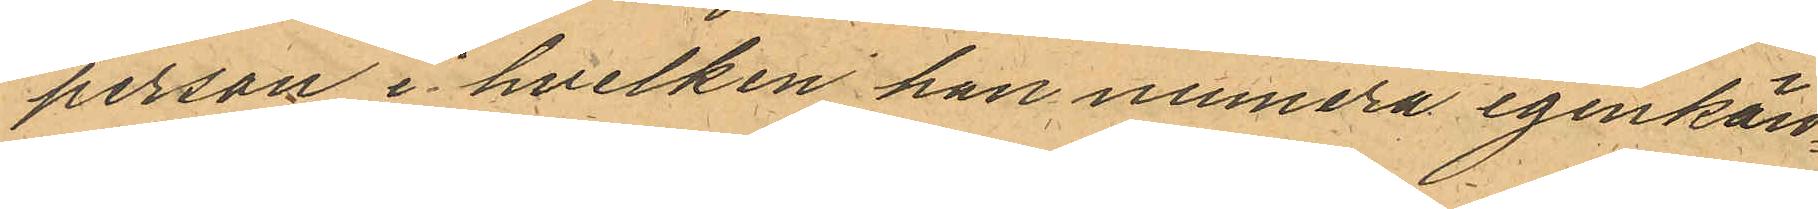person i hvilken han numera igenkän¬
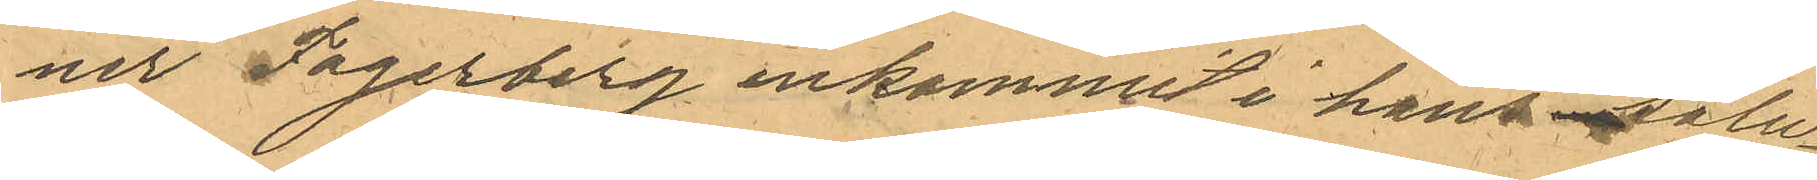ner Fagerberg inkommit i hans salu¬
